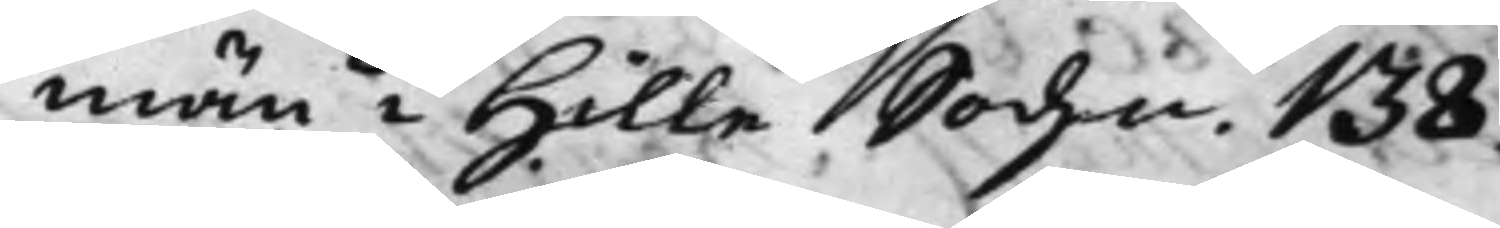män i Hille Sochn. 138.
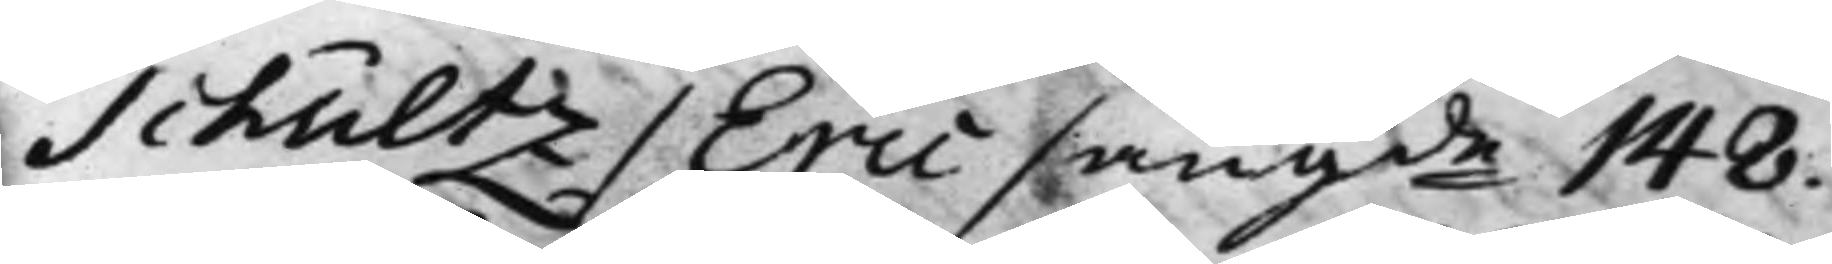Schultz / Eric / angde 148.
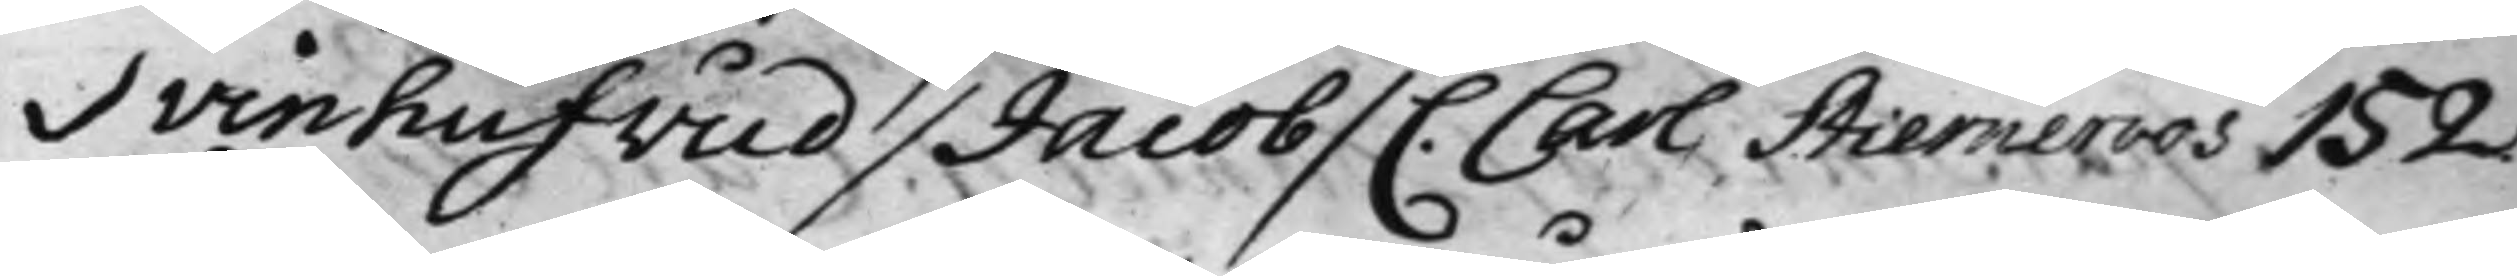Svinhufwud / Jacob / C. Carl Stierneroos 152.
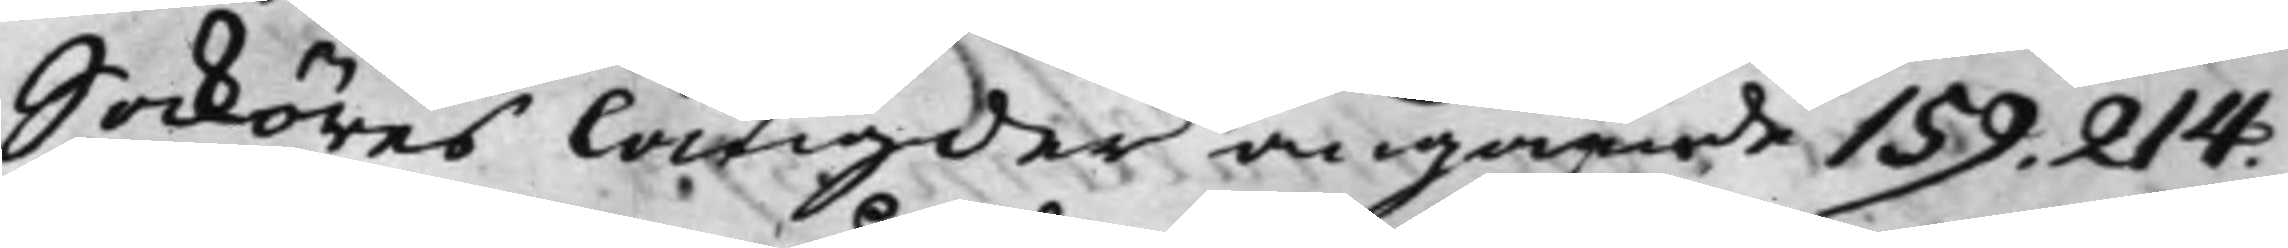Saköres längder angående 159. 214.
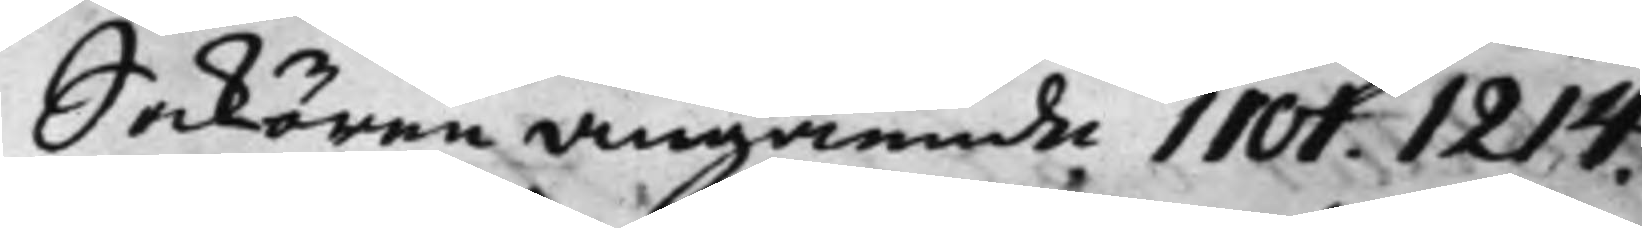Sakören angående 1101. 1214.
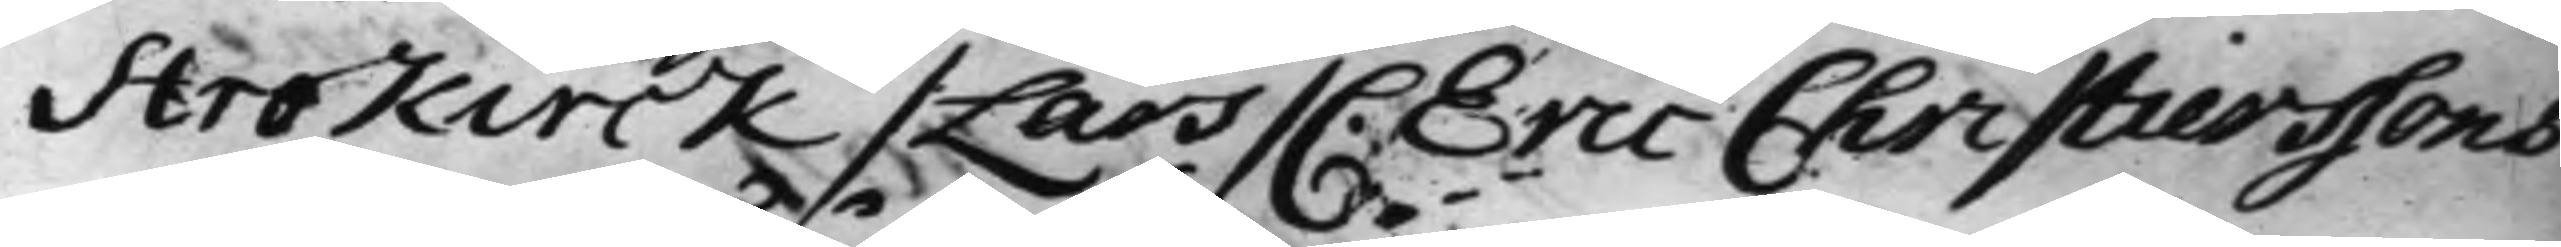Strokirck / Lars / C. Eric Christierssons
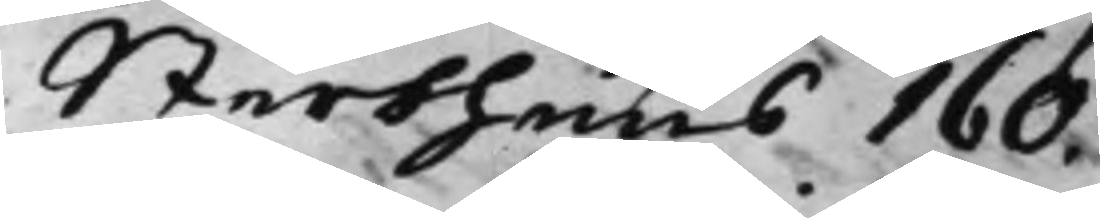Sterbhuus 160.
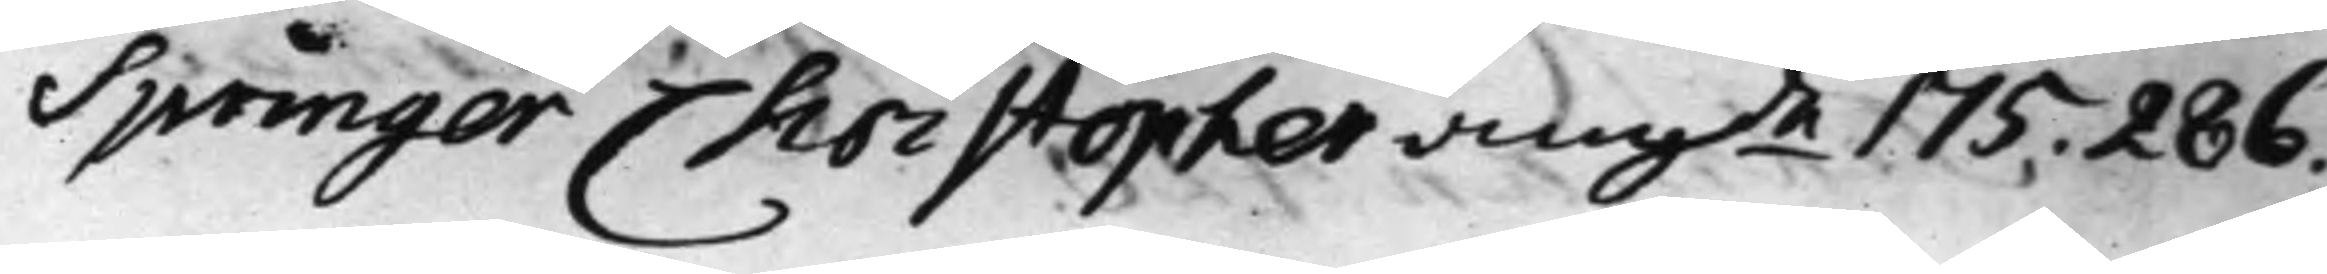Springer Christopher angde 175. 286.
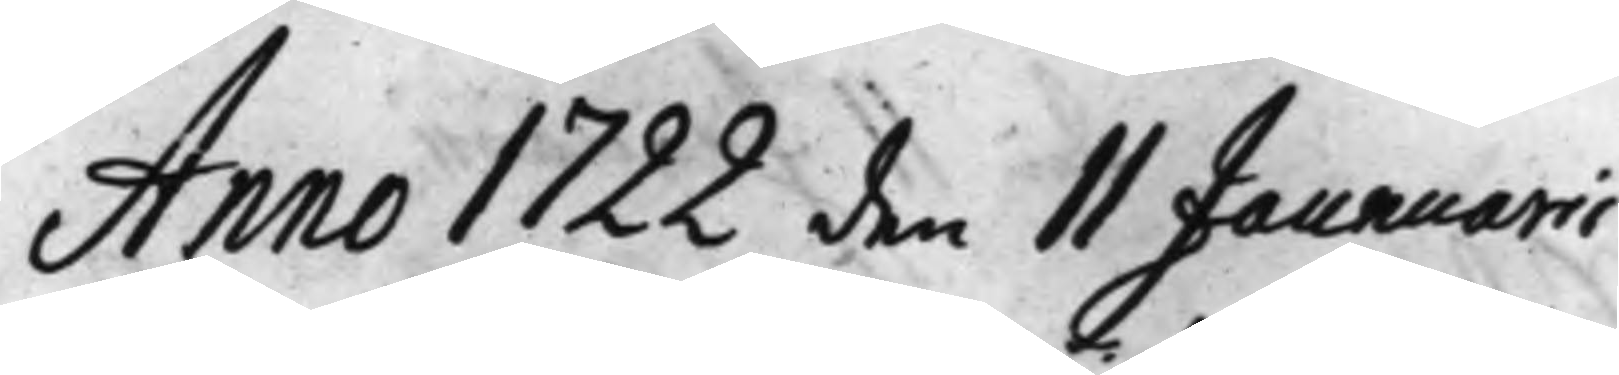Anno 1722 den 11 Jaunarii
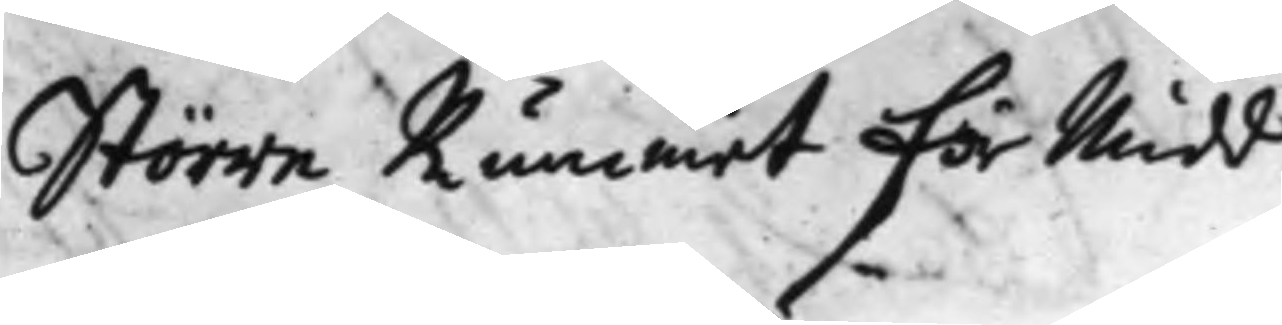Större Rummet För Midd.
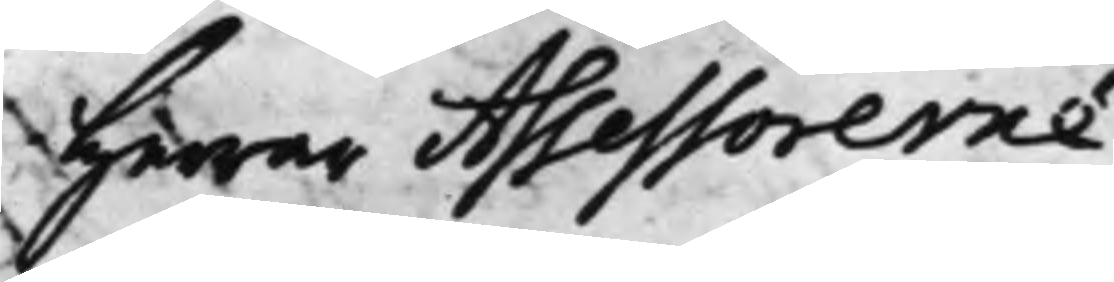Herrar Assessorerne:
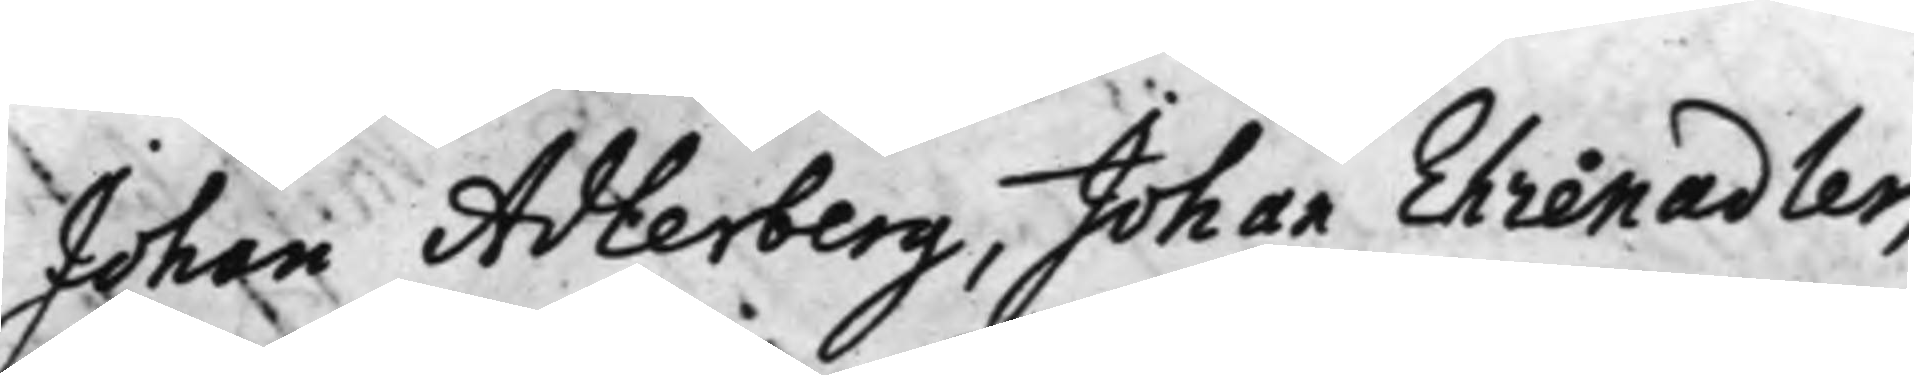Johan Adlerberg, Johan Ehrenadler,
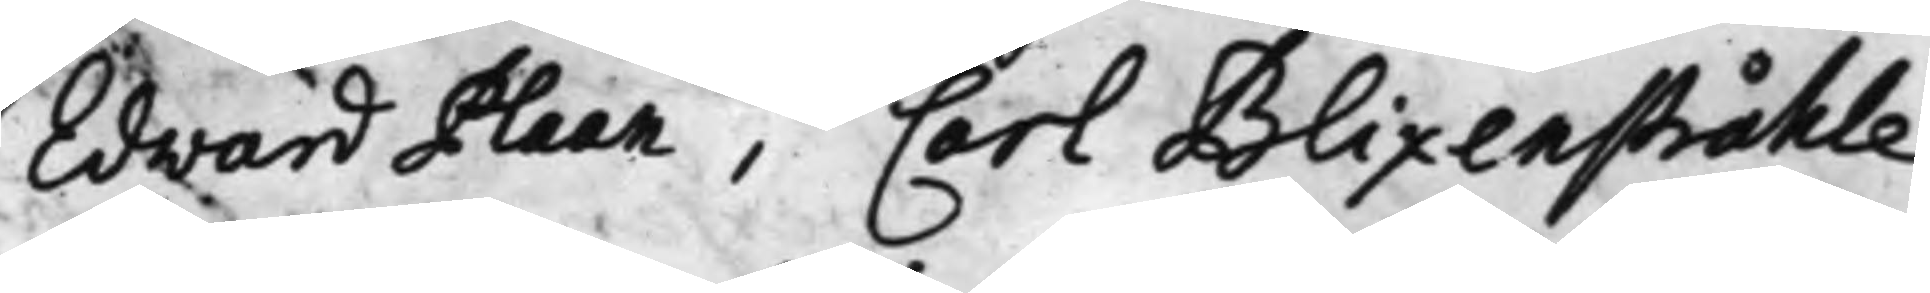Edward Plaan, Carl Blixenstråhle
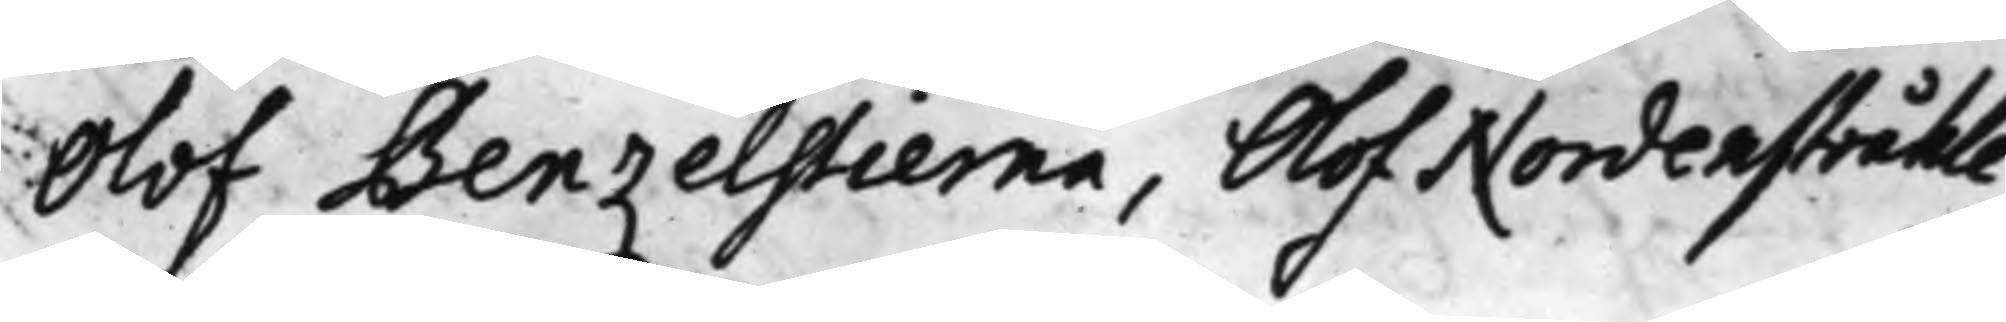Olof Benzelstierna, Olof Nordenstråhle,
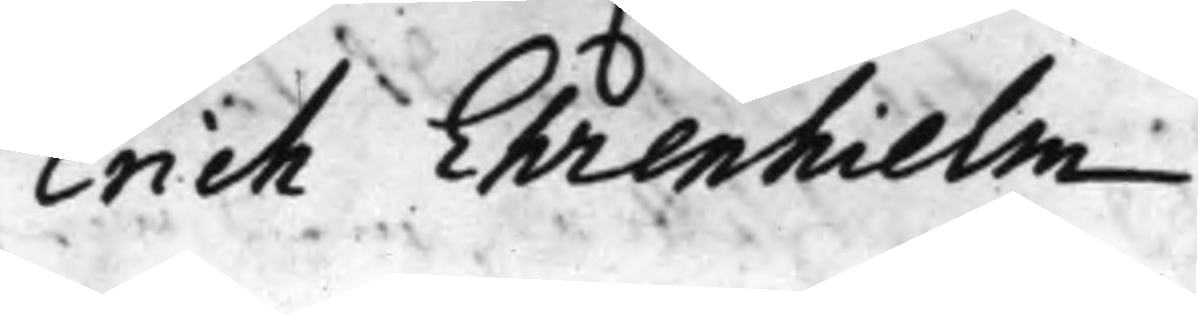Erich Ehrenhielm.
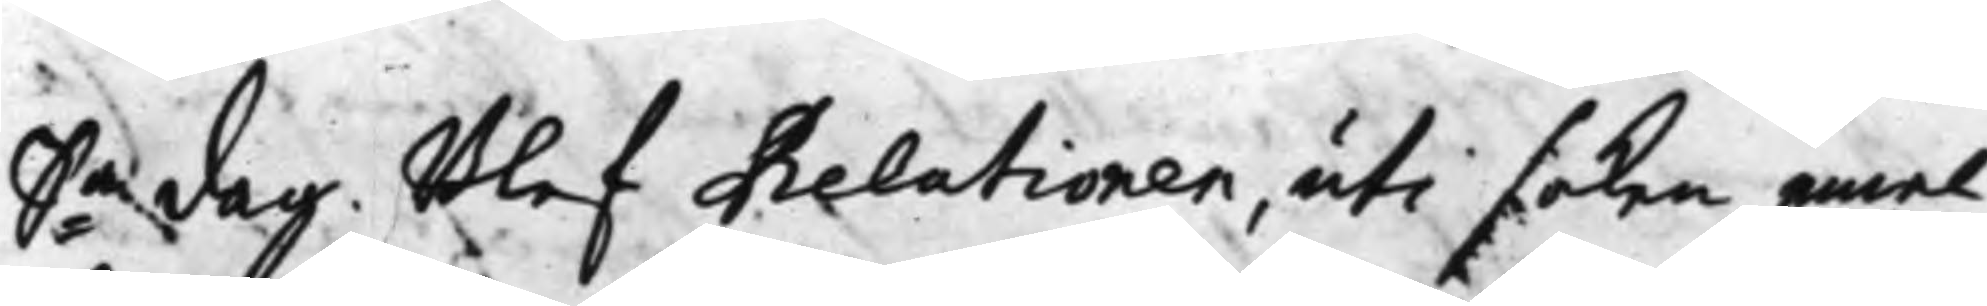S:a dag. Blef Relationen, uti saken emel¬
